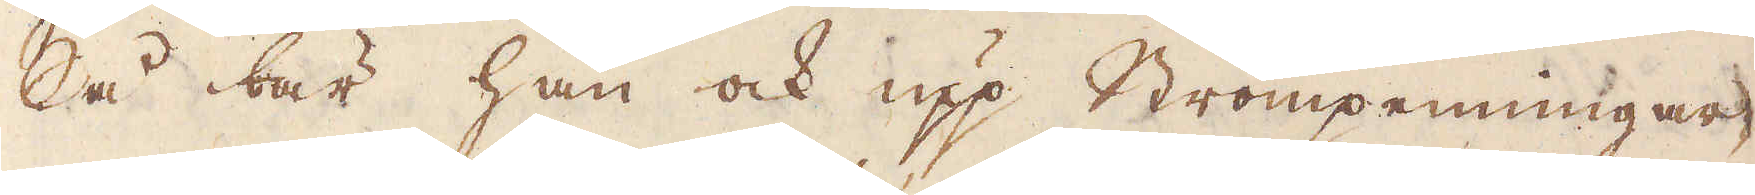Så bär han ock upp Strömpenningar-
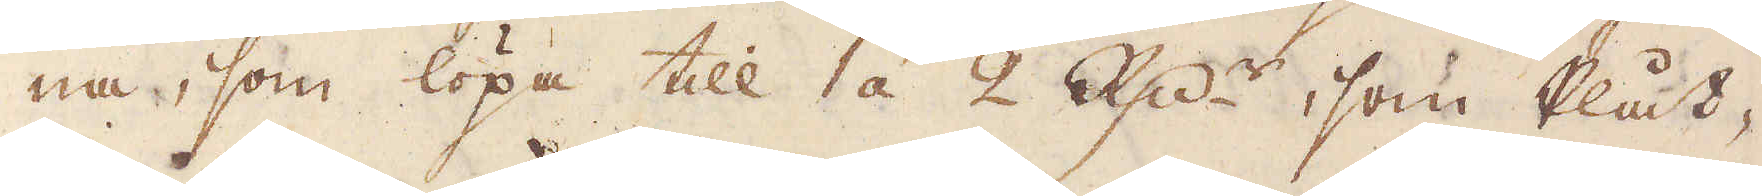na, som löpa till 1 á 2 R:dr, som Plåt-
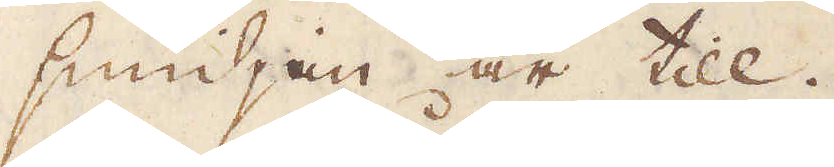smidjan är till.
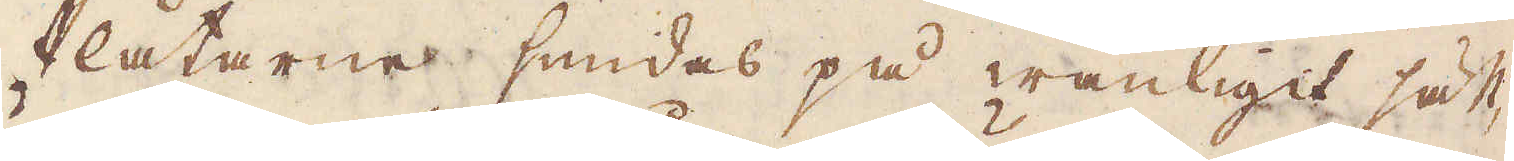Plåtarne smidas på wanligit sätt,
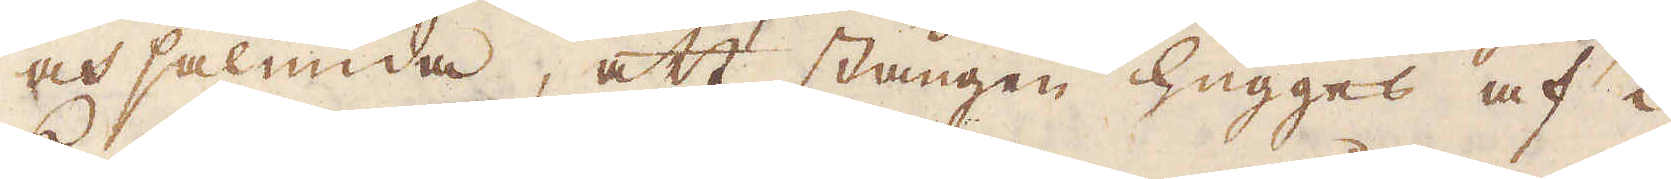och sålunda, att stången hugges af i
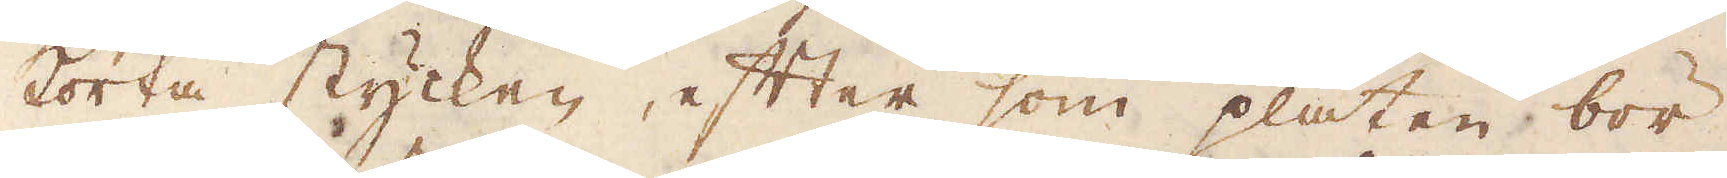korta stycken, efter som plåten bör
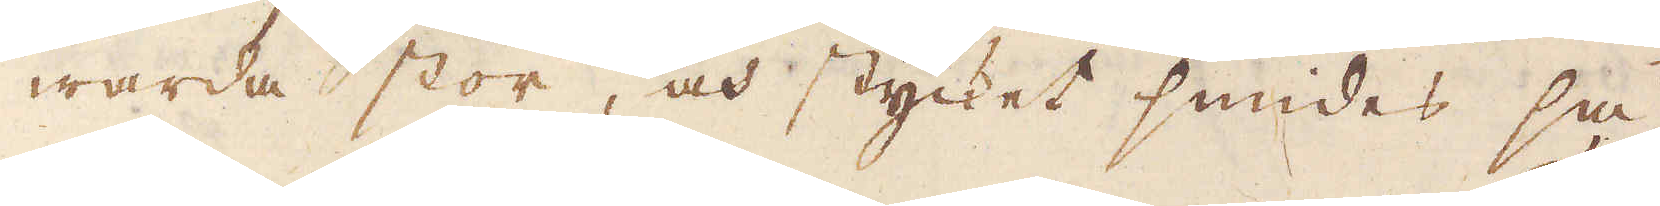warda stor, och stycket smides så
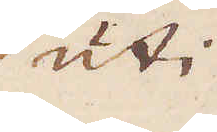uti
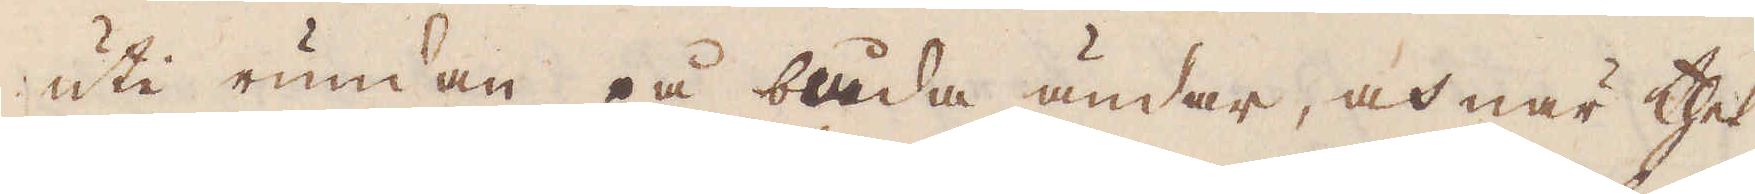uti rundan på båda ändar, och när thet
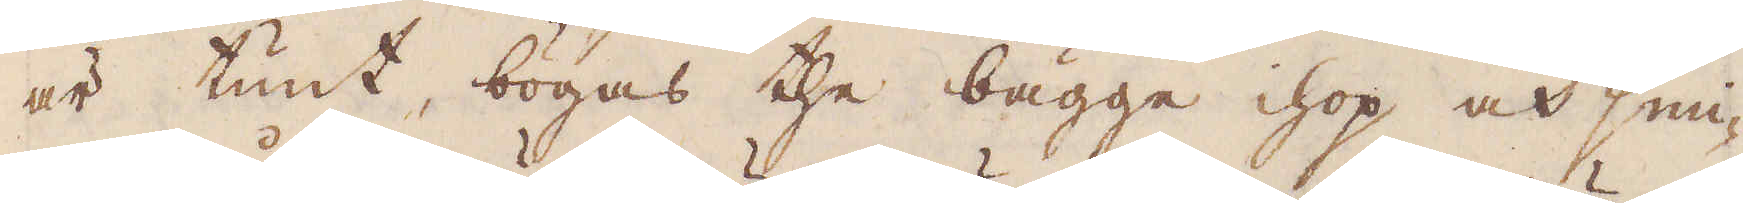är tunt, bögas the bägge ihop och smi-
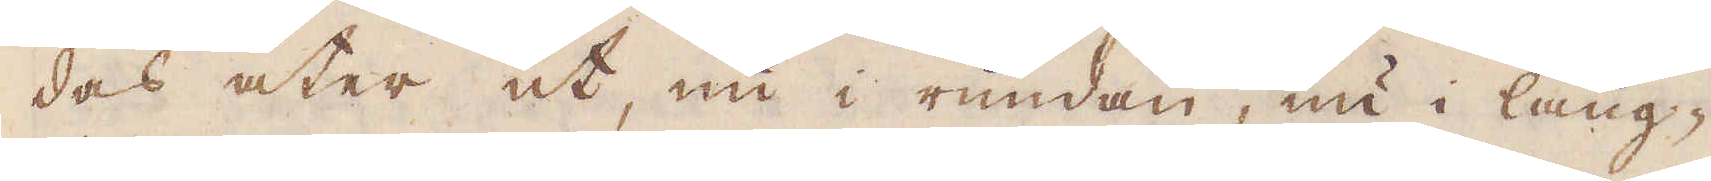des åter ut, nu i rundan, nu i läng-
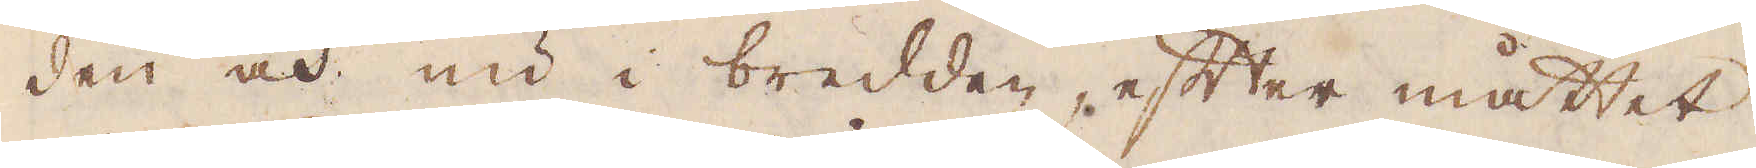den och nu i bredden, efter måttet
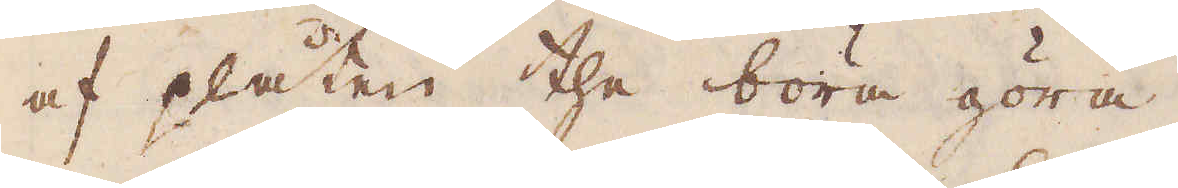af plåten the böra göra.
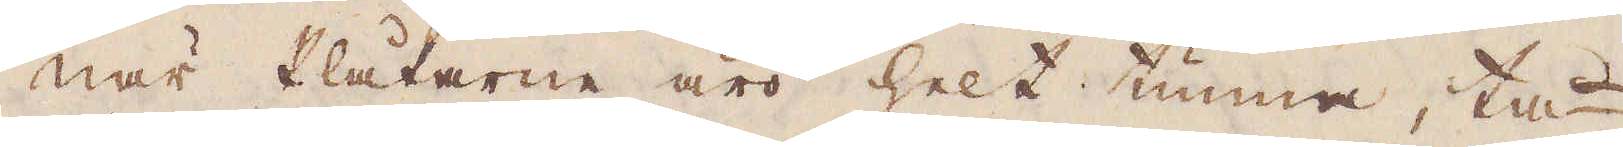När Plåtarne äro helt tunna, tå-
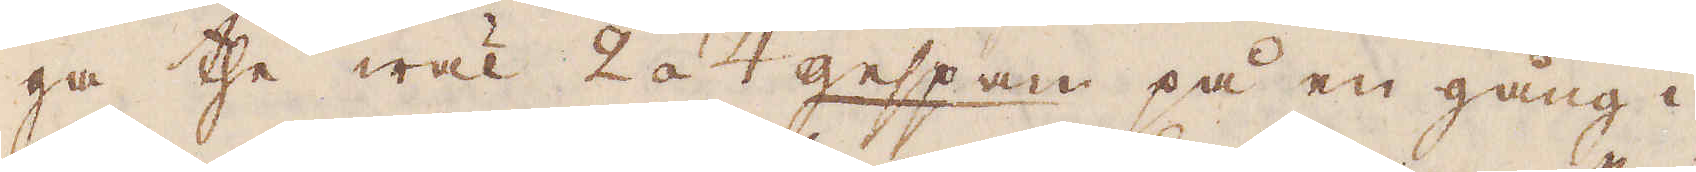ga the wäl 2 à 4 gessan på en gång i
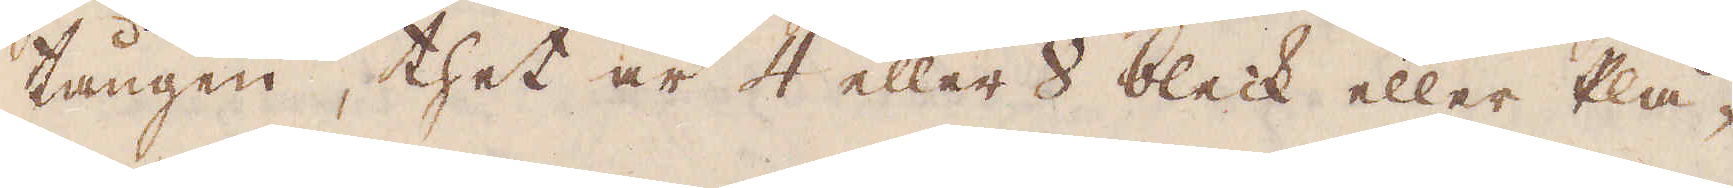tången, thet är 4 eller 8 bleck eller Plå-
